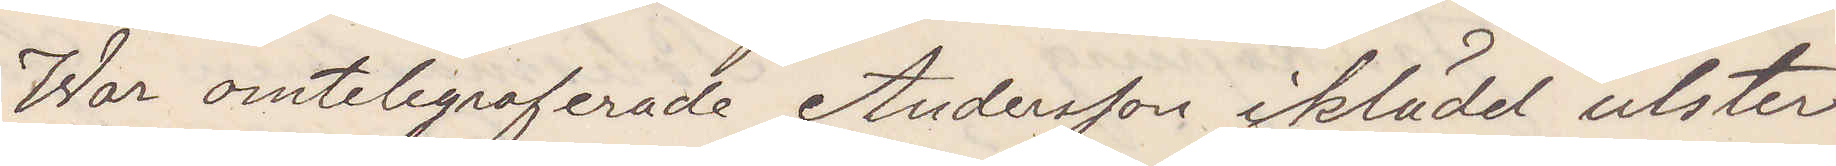War omtelegraferade Andersson iklädd ulster
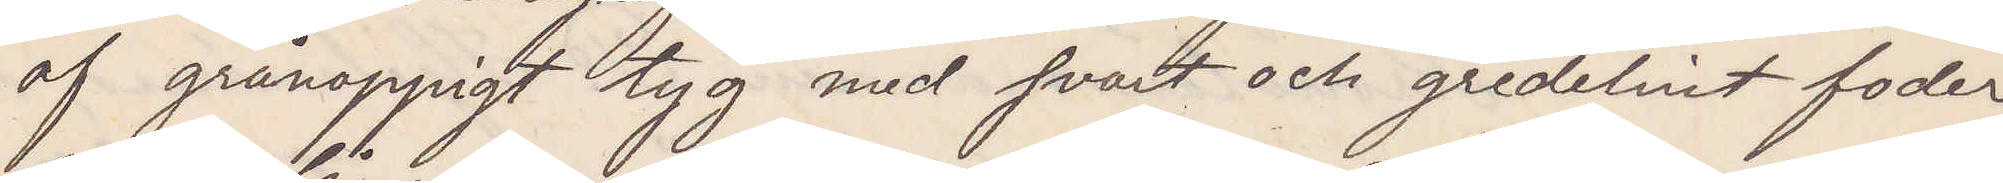af grånoppigt tyg md svart och gredelint foder
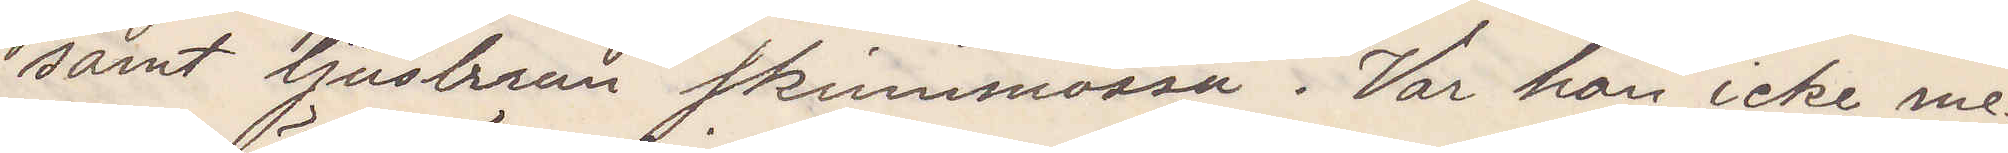samt ljusbrun skinnmössa. Var han icke me¬
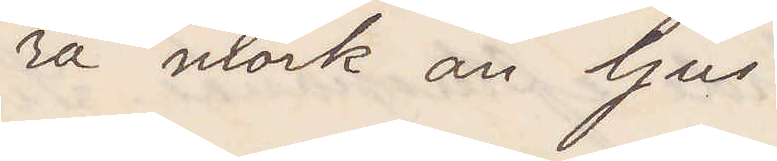ra mörk än ljus
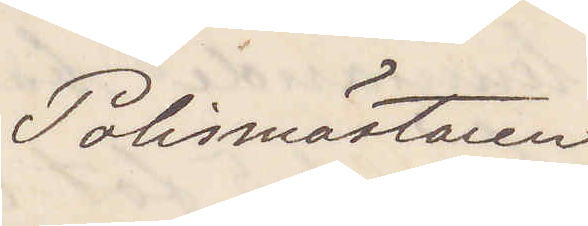Polismästaren
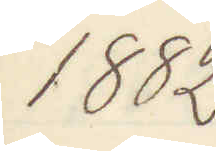1882
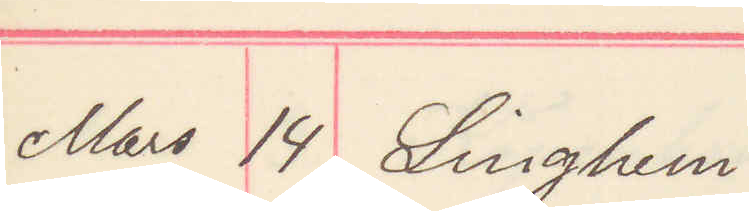Mars 14 Linghem.
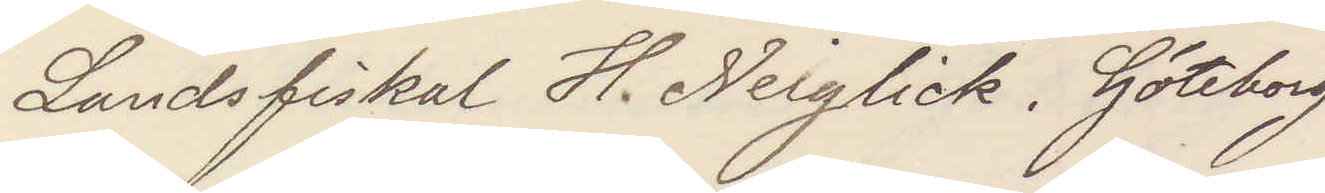Landsfiskal H. Neiglick. Göteborg
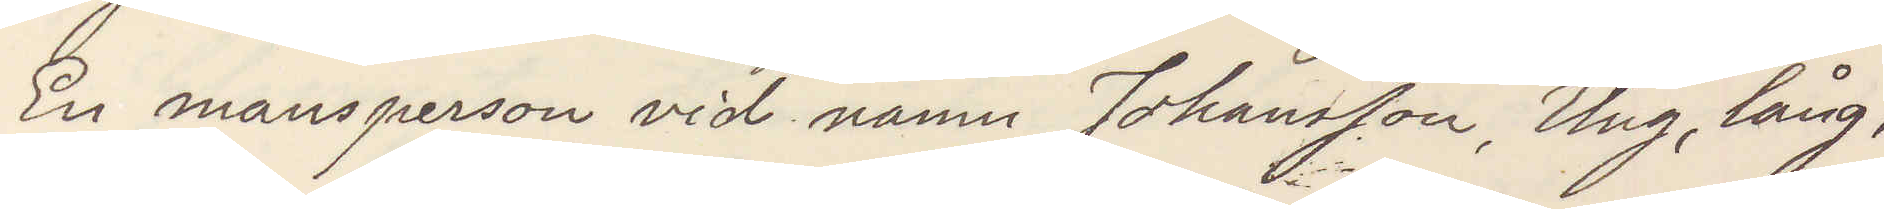En mansperson vid namn Johansson, Ung, lång,
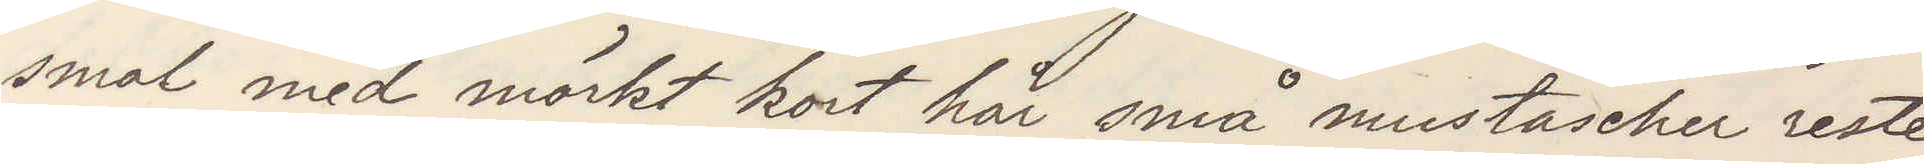smal med mörkt kort hår små mustascher reste
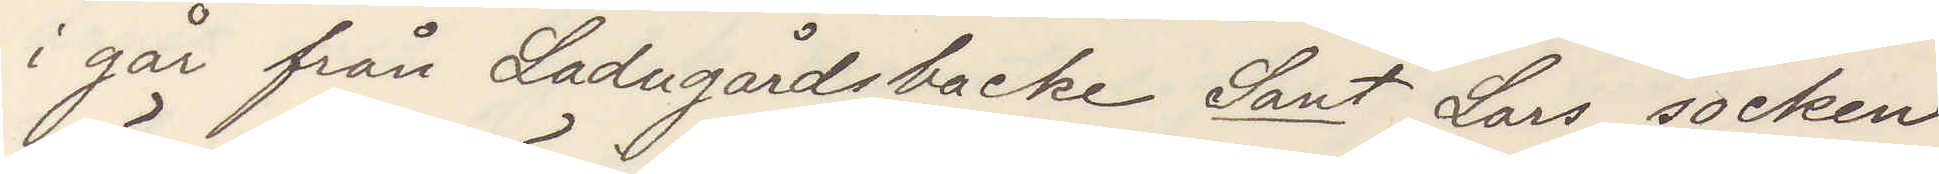i går från Ladugårdsbacke Sant Lars socken
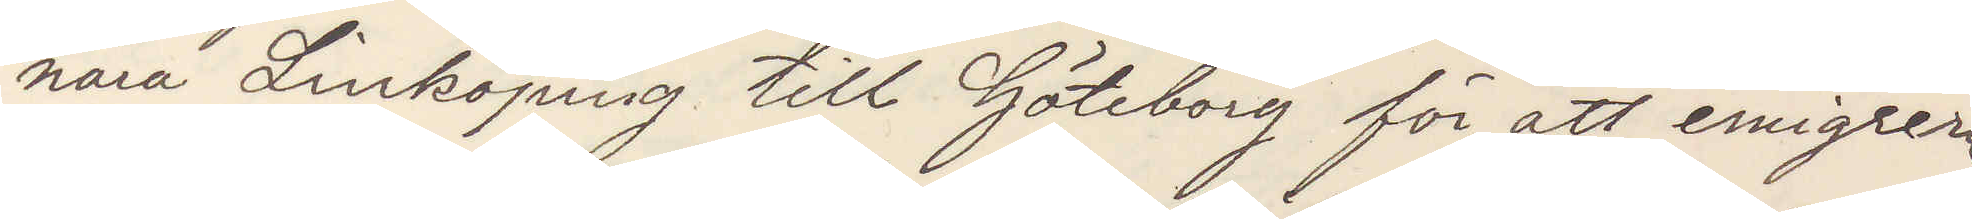nära Linköping till Göteborg för att emigrera
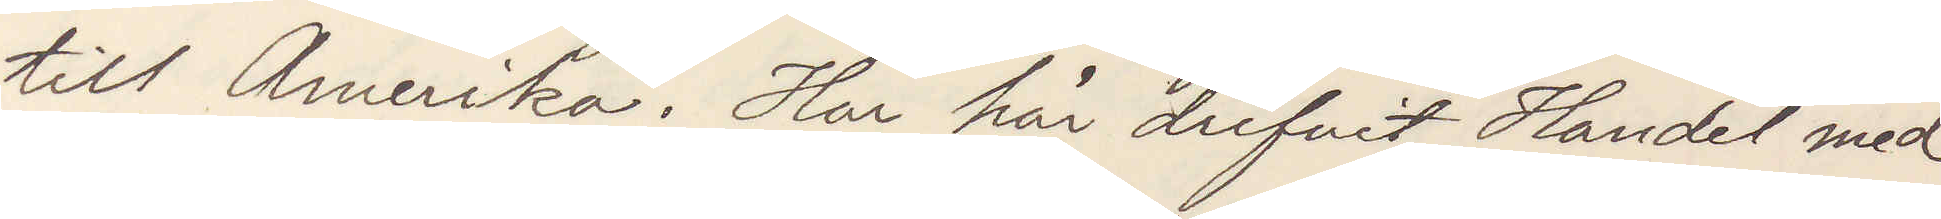till Amerika. Har här drifvit Handel med
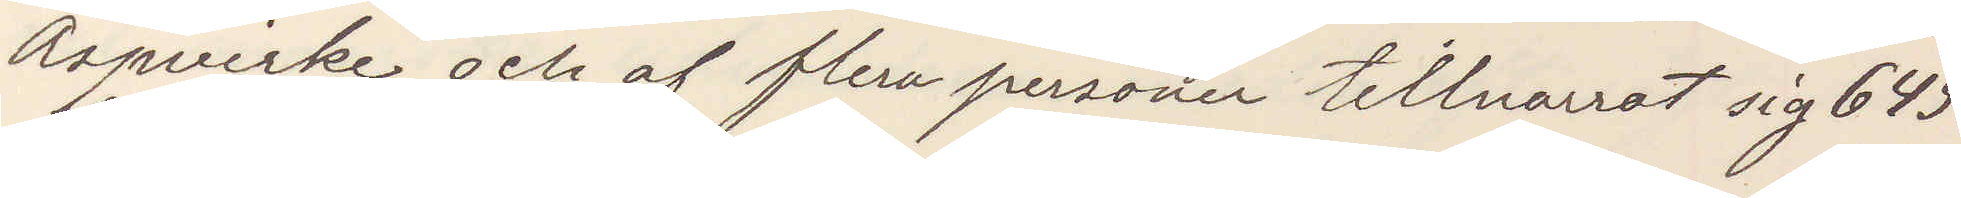Aspvirke och af flera personer tillnarrat sig 645
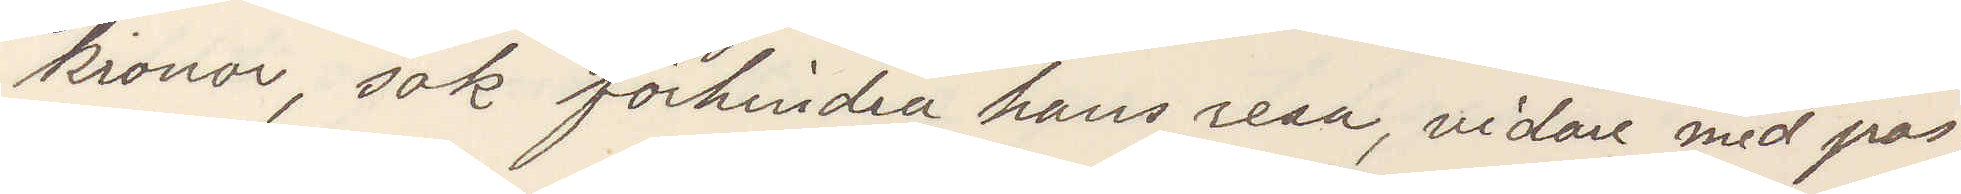kronor, sök förhindra hans resa, vidare med pos¬
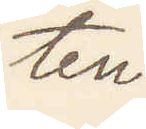ten.
